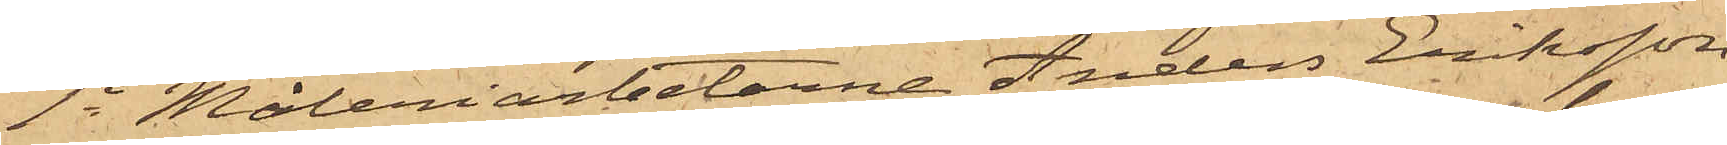1o Måleriarbetarne Anders Eriksson
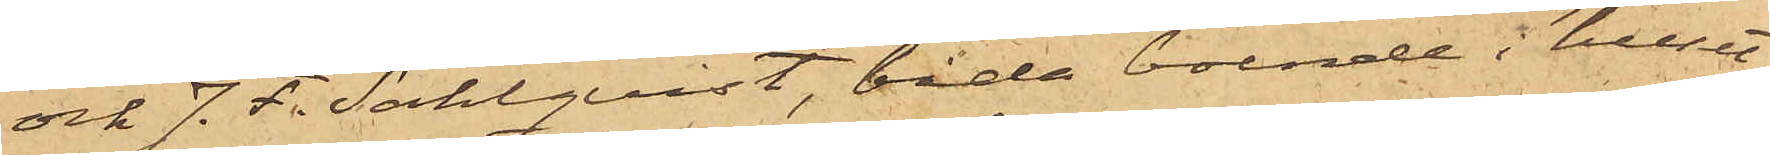och J. F. Sahlquist, båda boende i huset
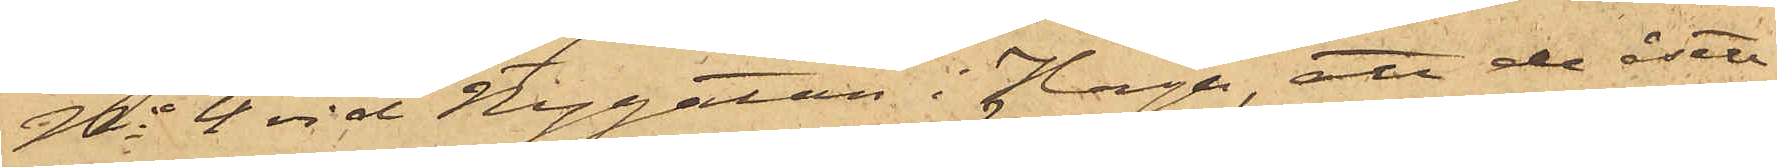No 4 vid Nygatan i Haga, att de åsett
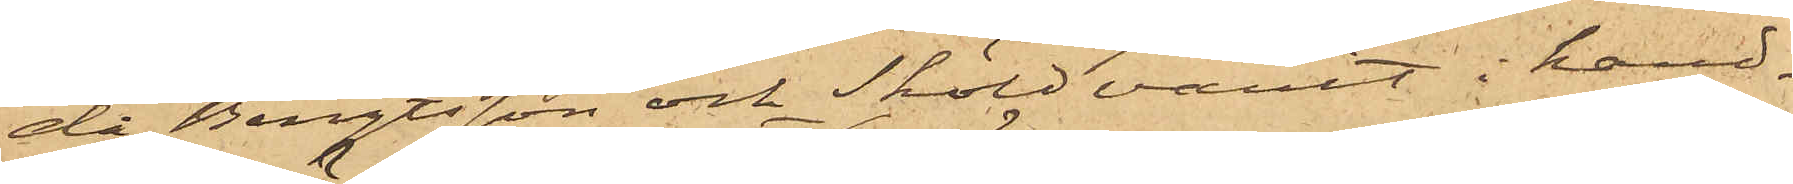då Bengtsson och Sköld varit i hand¬
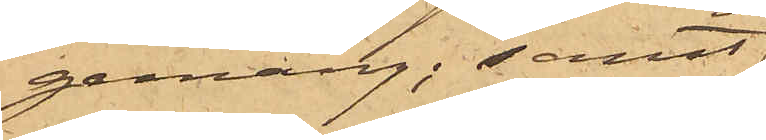gemäng; samt
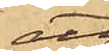att
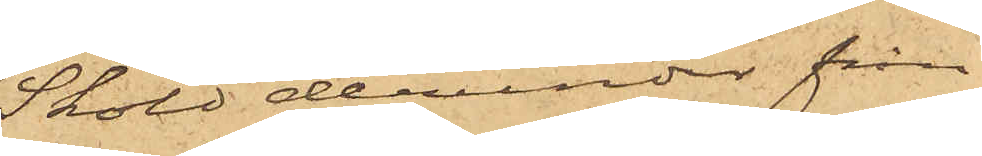Sköld derunder från
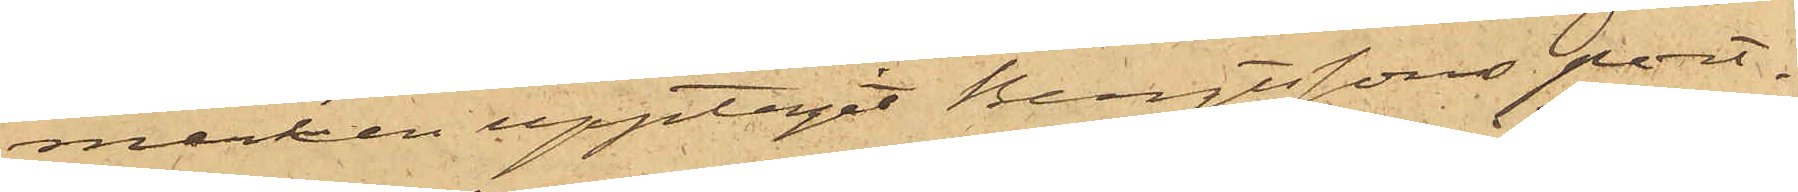marken upptagit Bengtssons port¬
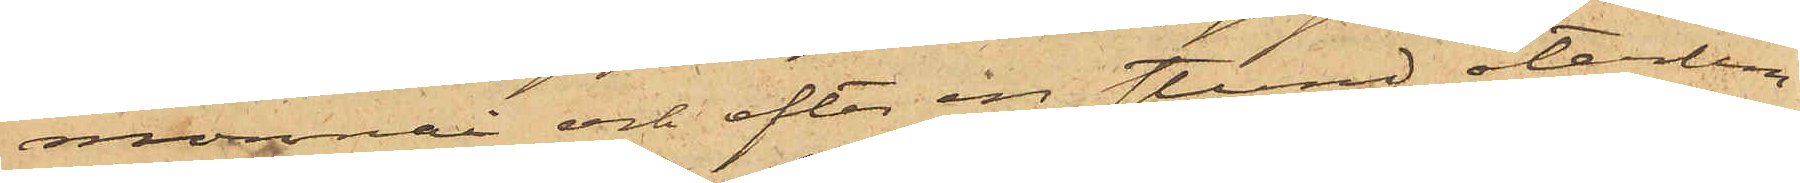monnai och efter en stund återlem¬
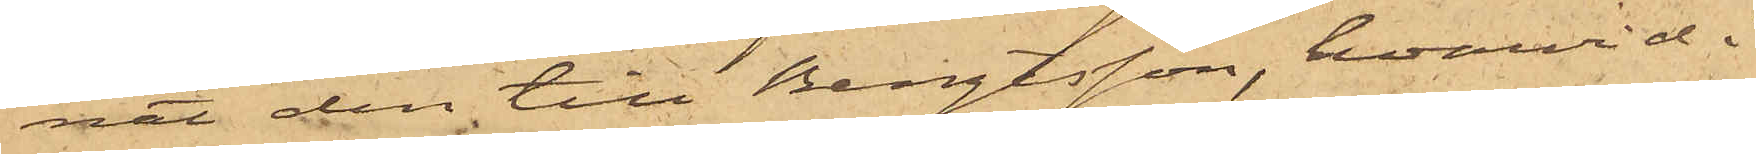nat den till Bengtsson, hvarvid i
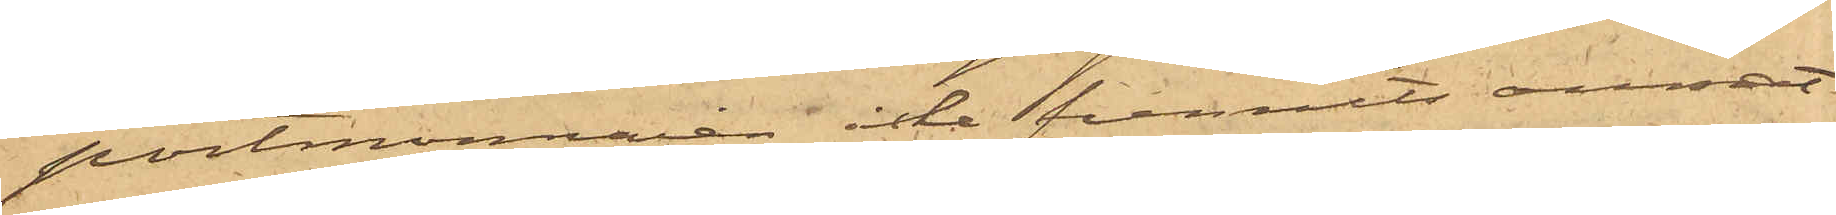portmonnaien icke funnits annat
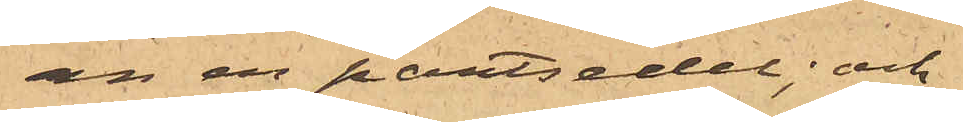än en pantsedel; och
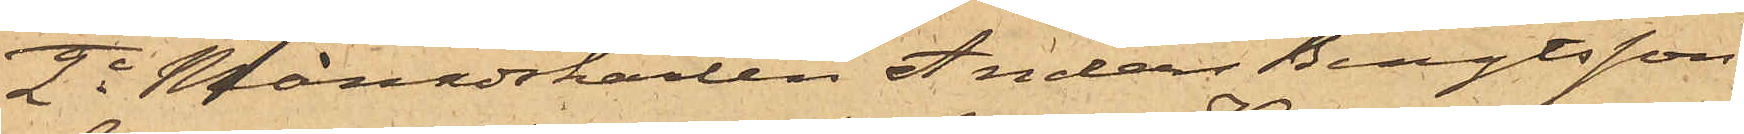2o Månadskarlen Anders Bengtsson,
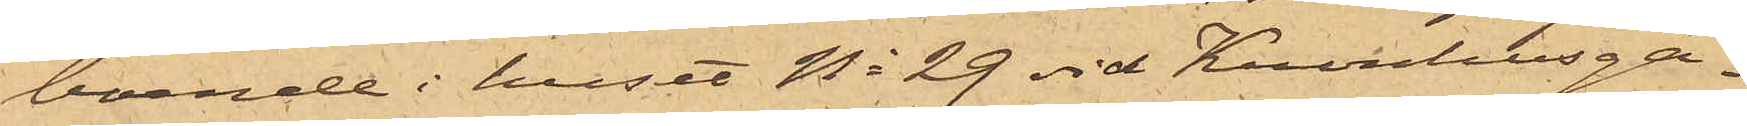boende i huset No 29 vid Kronhusga¬
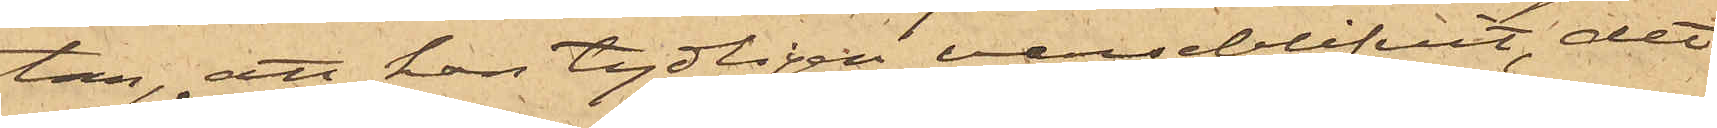tan, att han tydligen varseblifvit, det
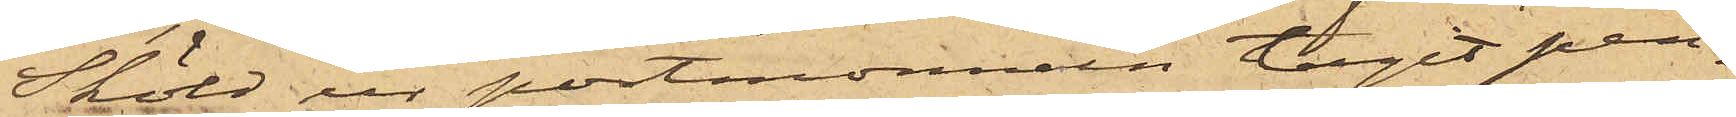Sköld ur portmonnain tagit pen¬
